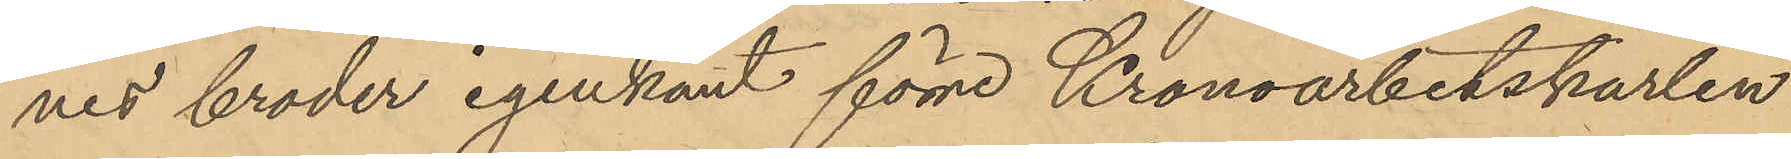nes broder igenkänt förre Kronoarbetskarlen
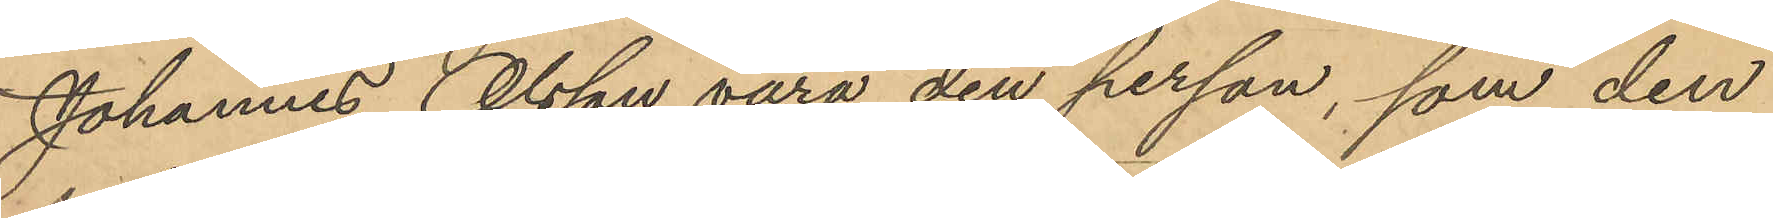Johannes Olsson vara den person, som den
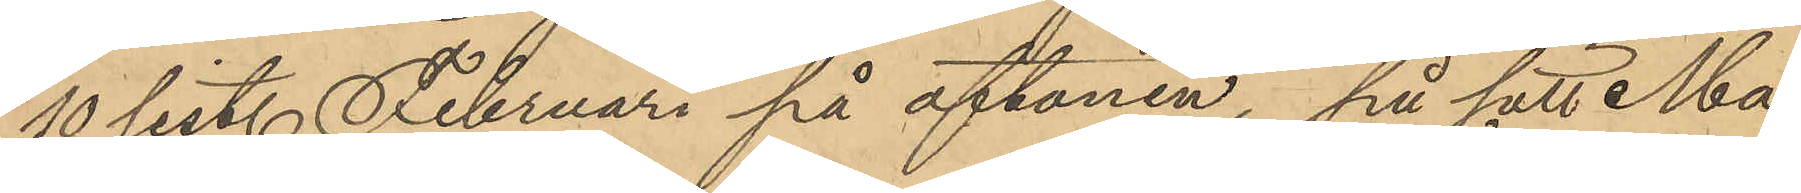10 sist. Februari på aftonen, på sätt Ma¬
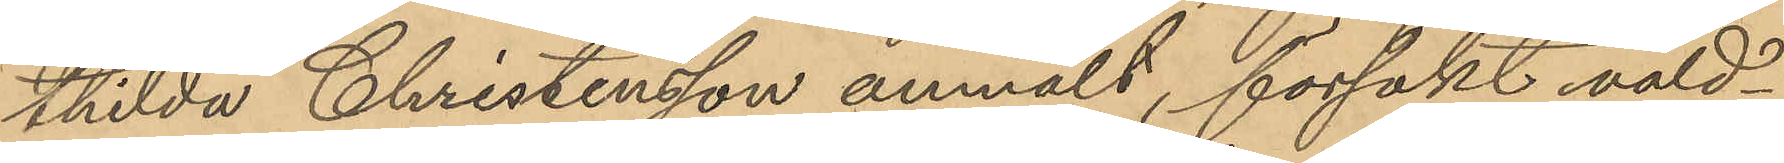thilda Christensson anmält, försökt våld¬
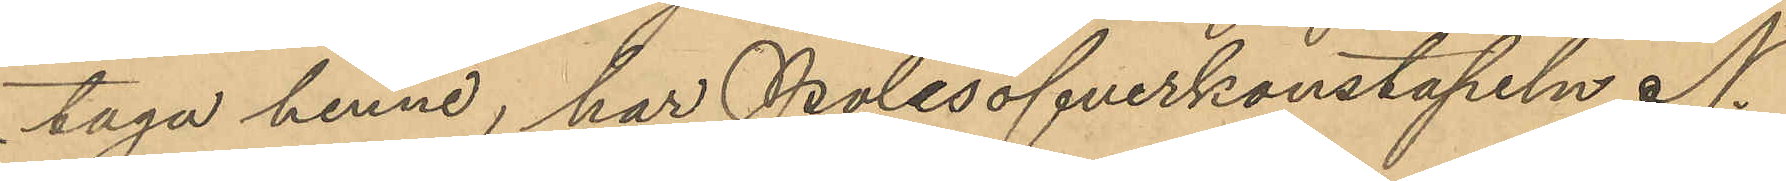taga henne, har Polisöfverkonstapeln N.
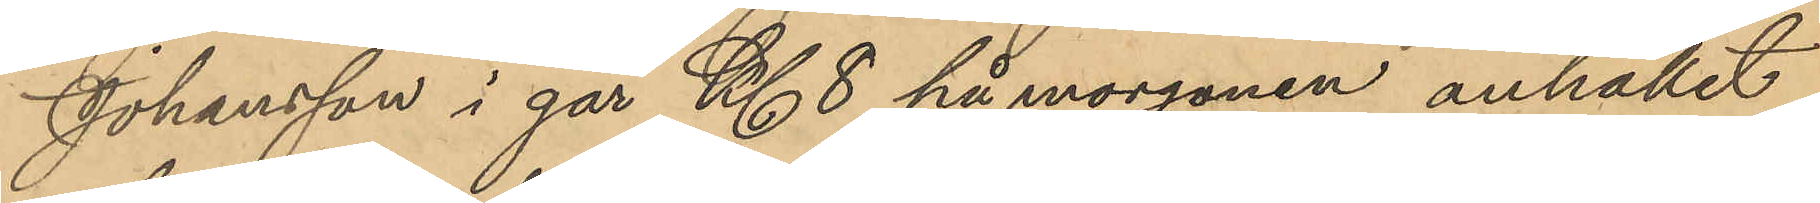Johansson i går Kl. 8 på morgonen anhållit
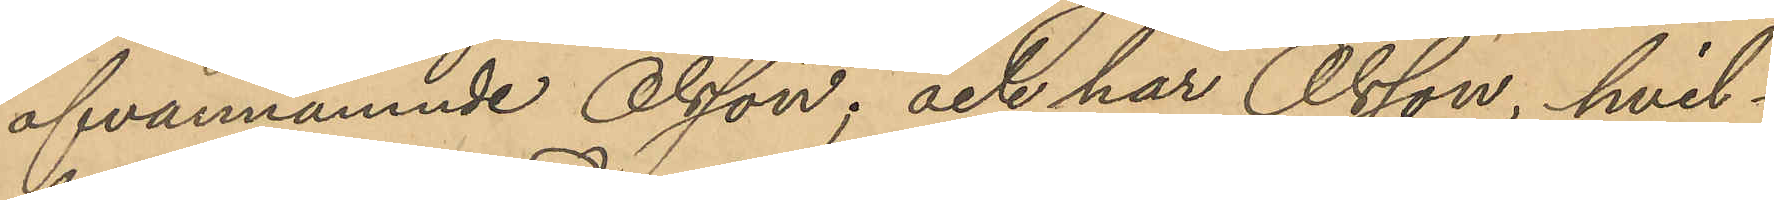ofvannämnde Olsson; och har Olsson, hvil¬
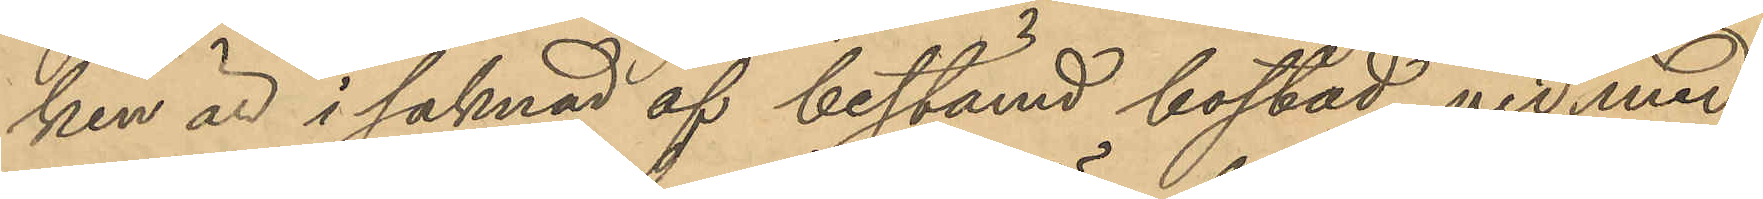ken är i saknad af bestämd bostad, vid med
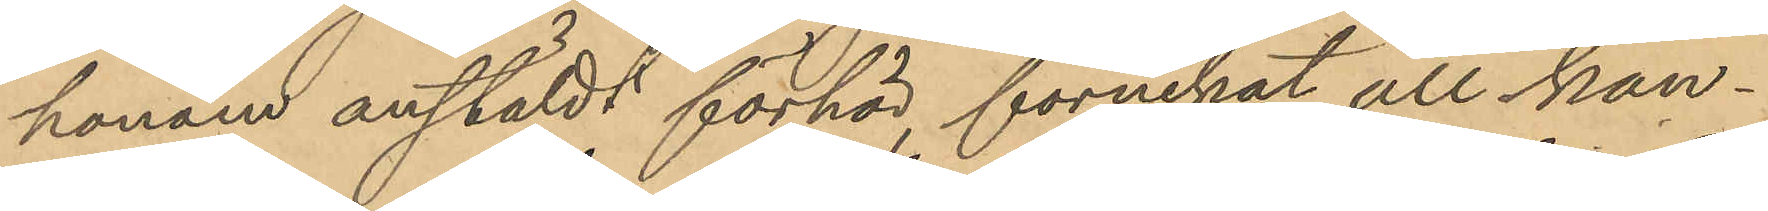honom anstäldt förhör, förnekat all kän¬
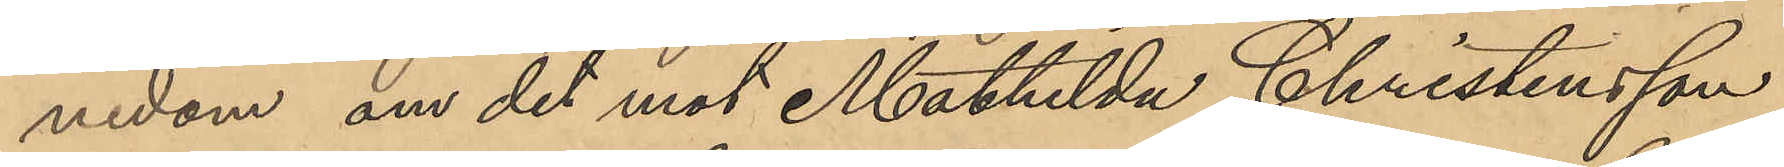nedom om det mot Mathilda Christensson
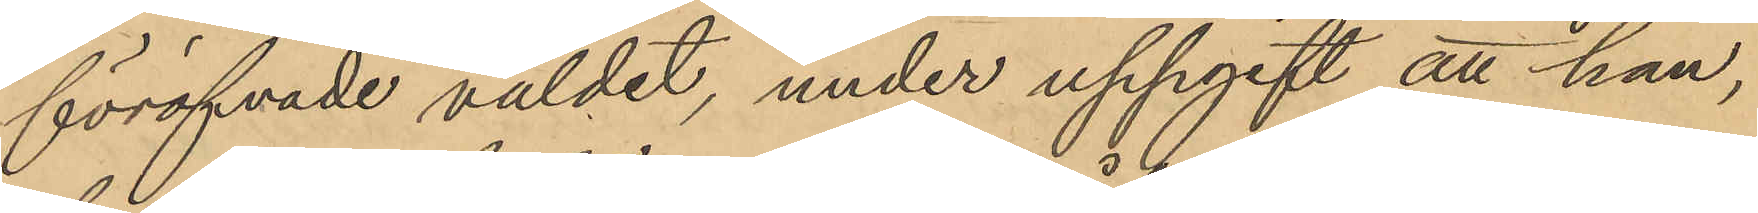föröfvade våldet, under uppgift att han,
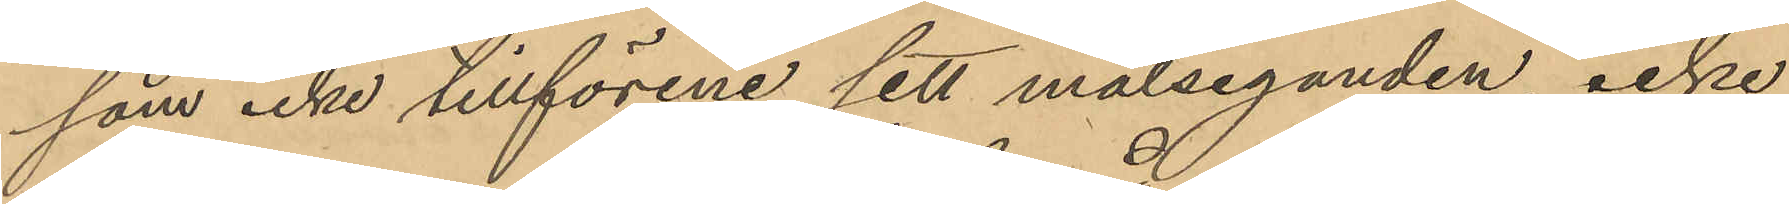som icke tillförene sett målseganden, icke
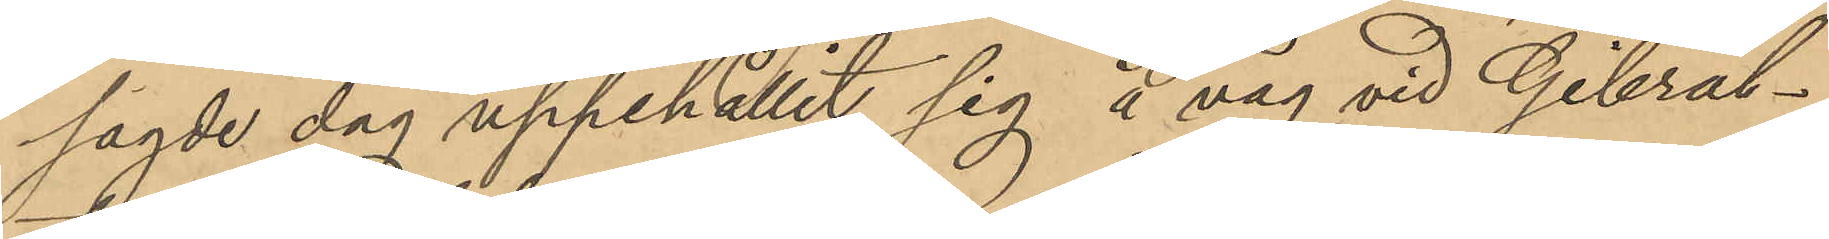sagde dag uppehållit sig å väg vid Gibral¬
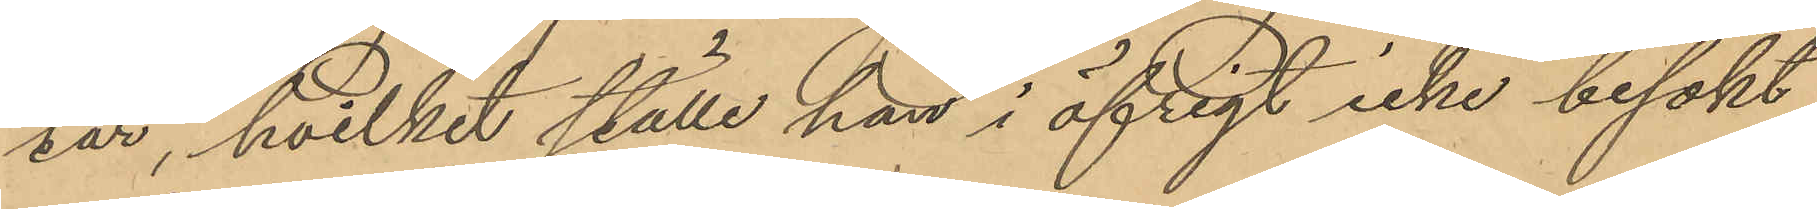tar, hvilket ställe han i öfrigt icke besökt
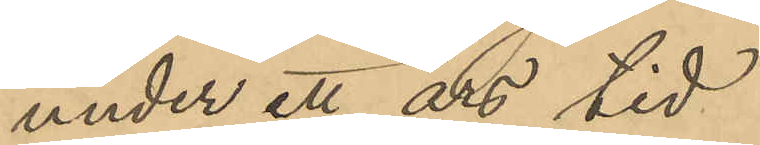under ett års tid
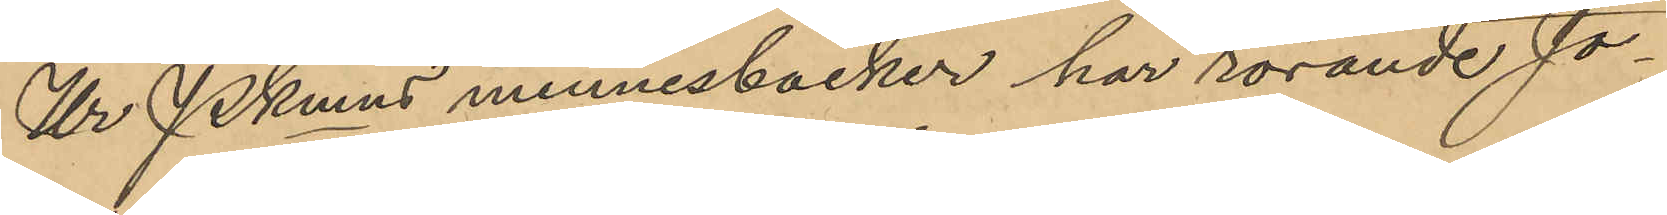Ur Pkmns minnesböcker har rörande Jo¬
